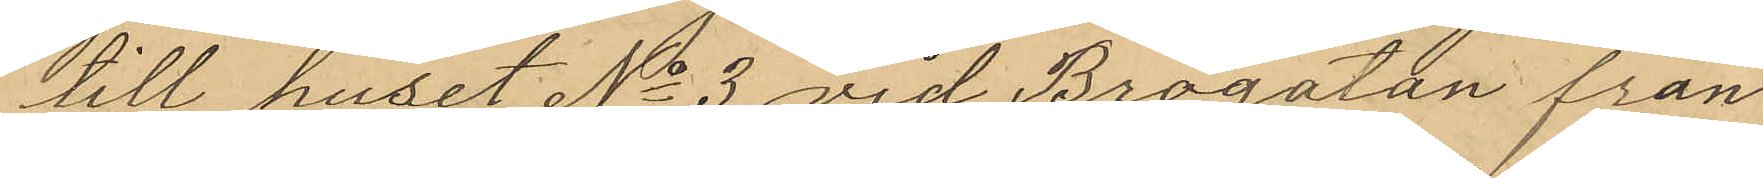till huset No 3 vid Brogatan från
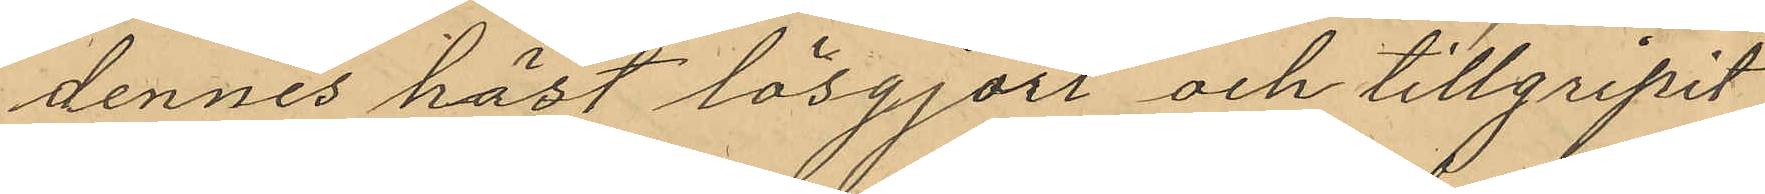dennes häst lösgjort och tillgripit
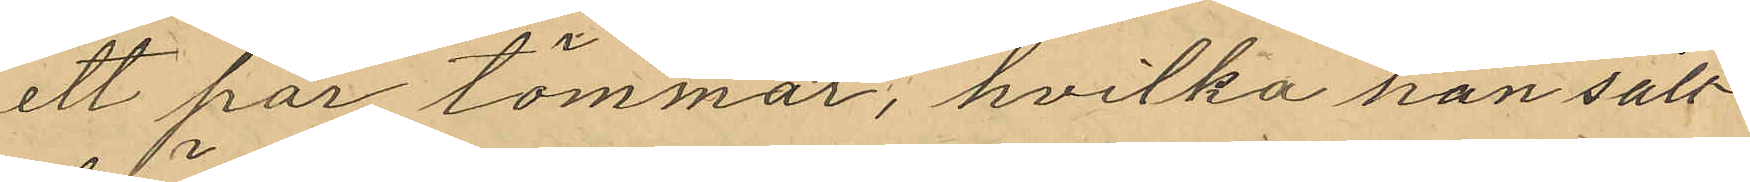ett par tömmar; hvilka han sålt
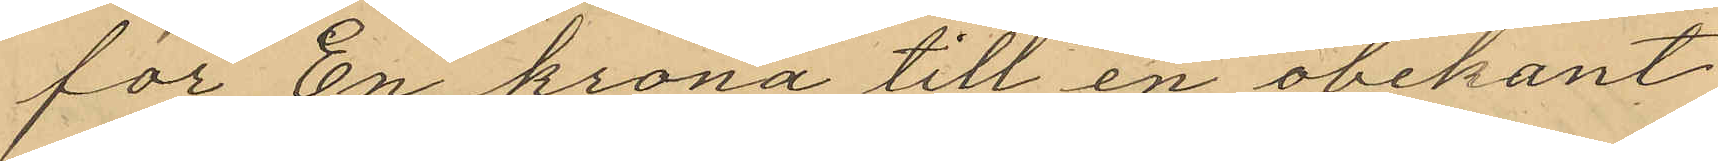för En krona till en obekant
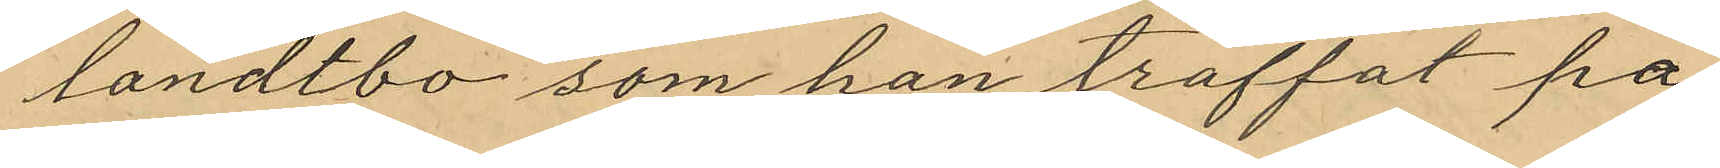landtbo som han träffat på
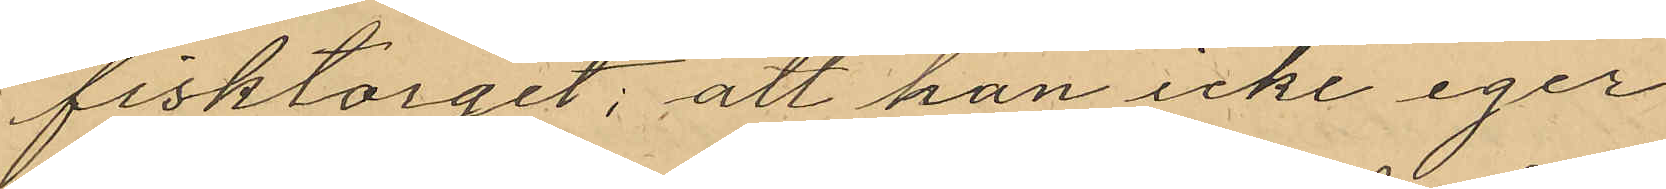fisktorget; att han icke eger
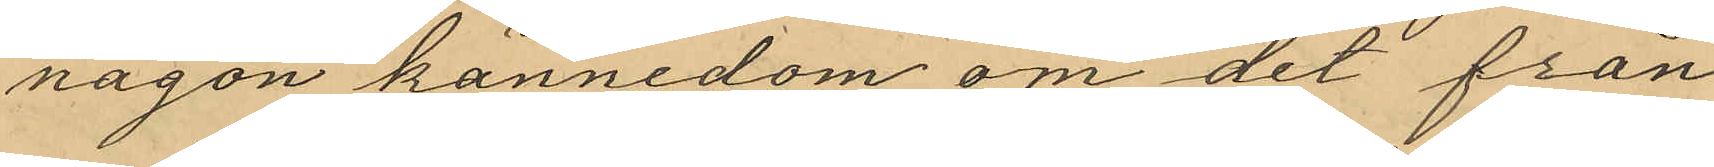någon kännedom om det från
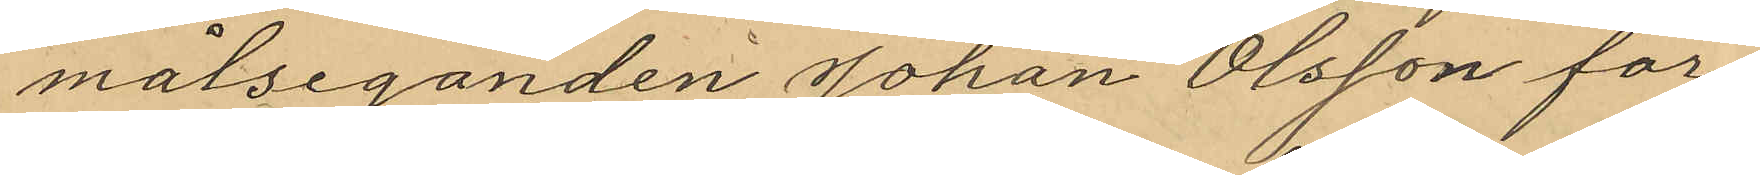målseganden Johan Olsson för¬
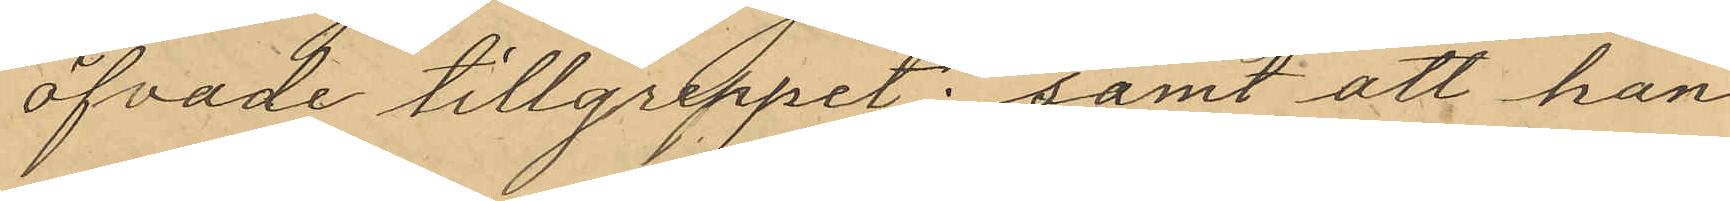öfvade tillgreppet; samt att han
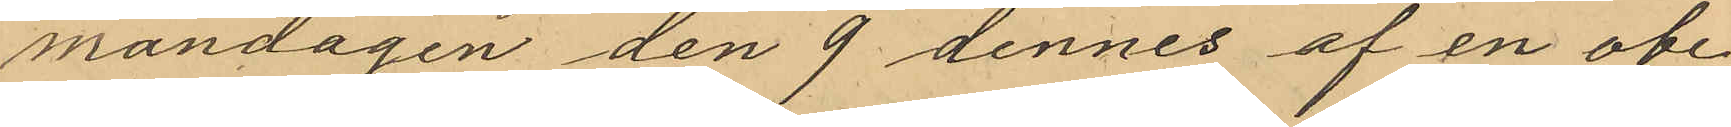måndagen den 9 dennes af en obe¬
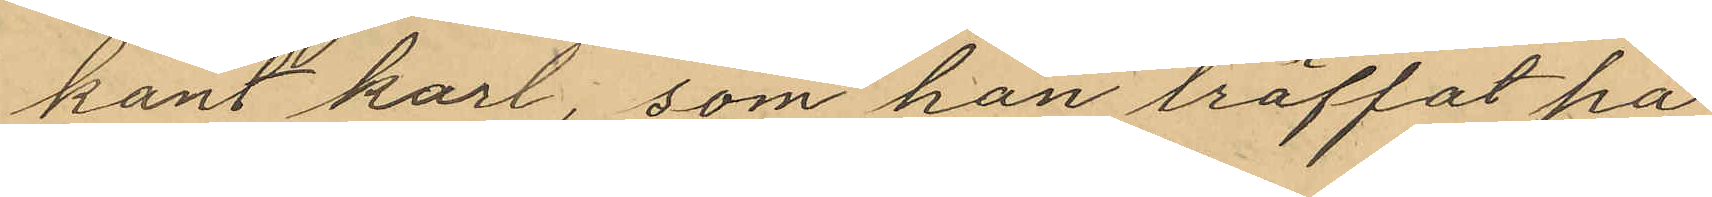kant karl, som han träffat på
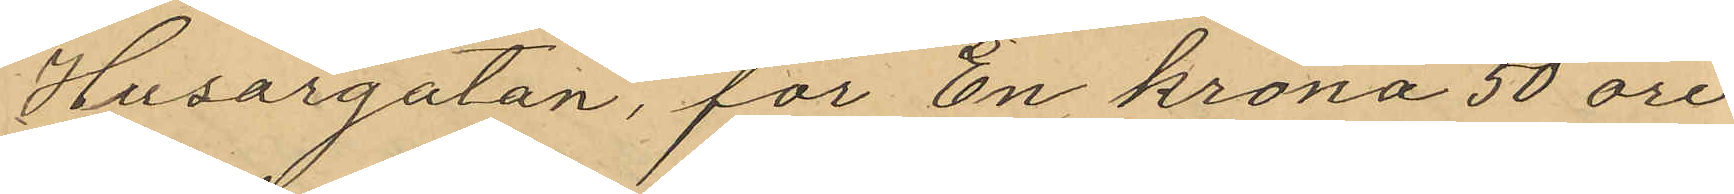Husargatan, för En krona 50 öre
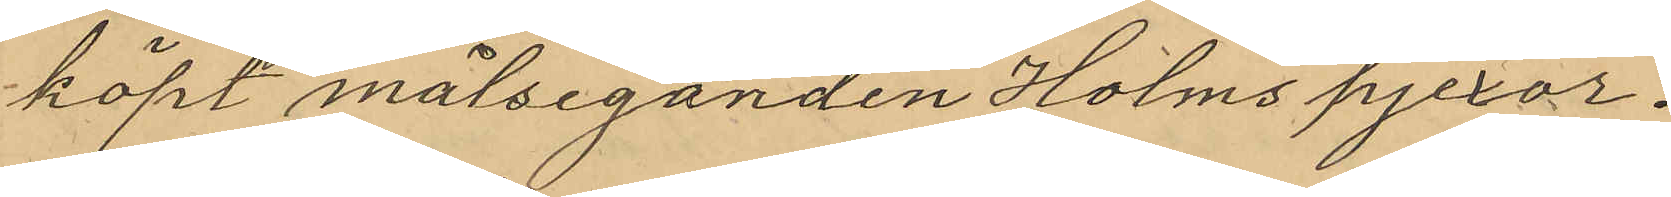köpt målseganden Holms pjexor.
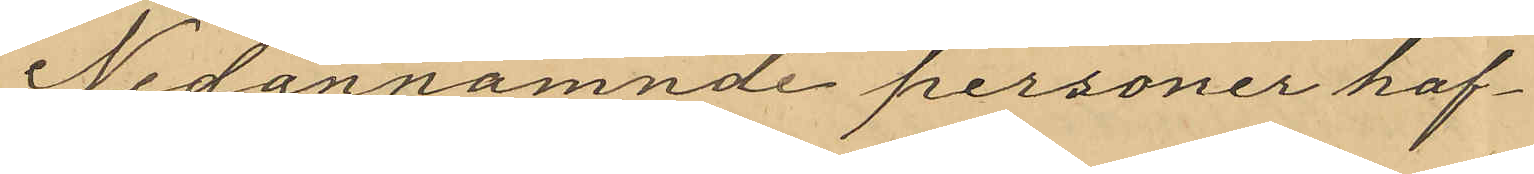Nedannämnde personer haf¬
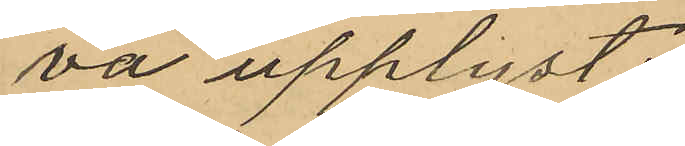va upplyst:
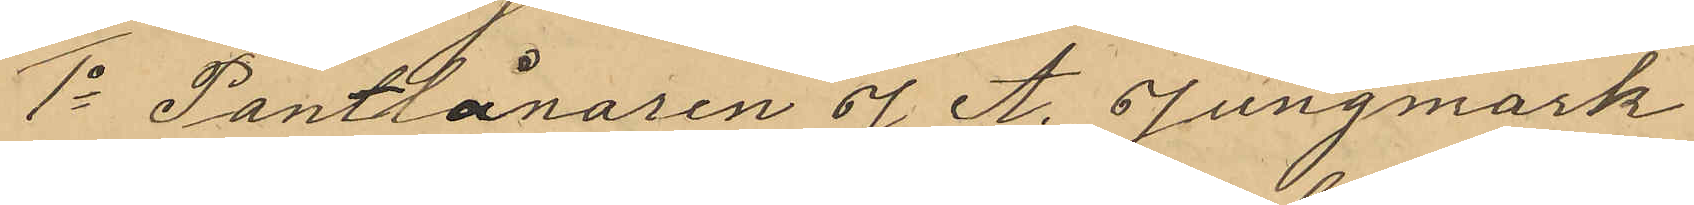1o Pantlånaren J A. Jungmark
